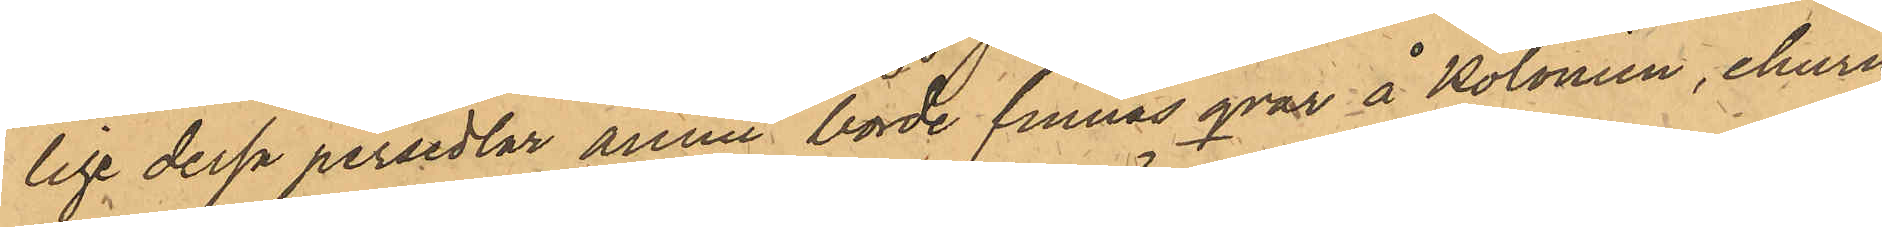lige dessa persedlar ännu borde finnas qvar å Kolonien, ehuru
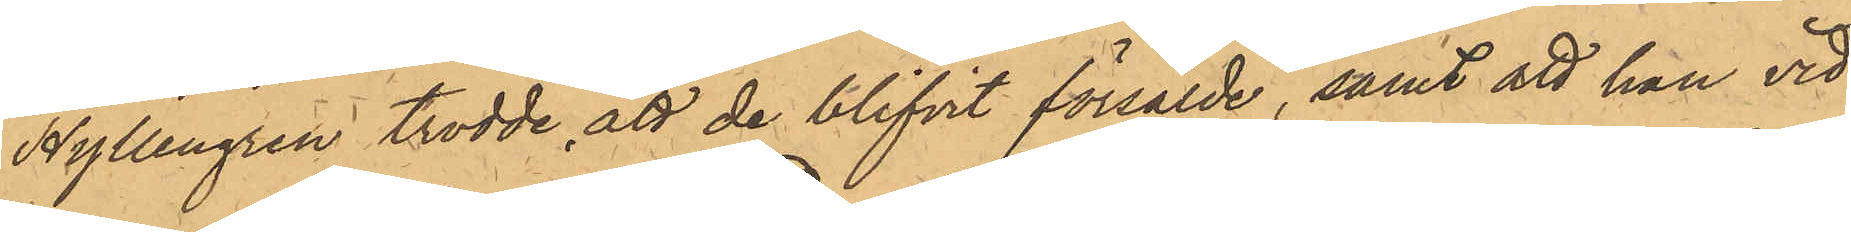Hyllengren trodde att de blifvit försålde, samt att han vid
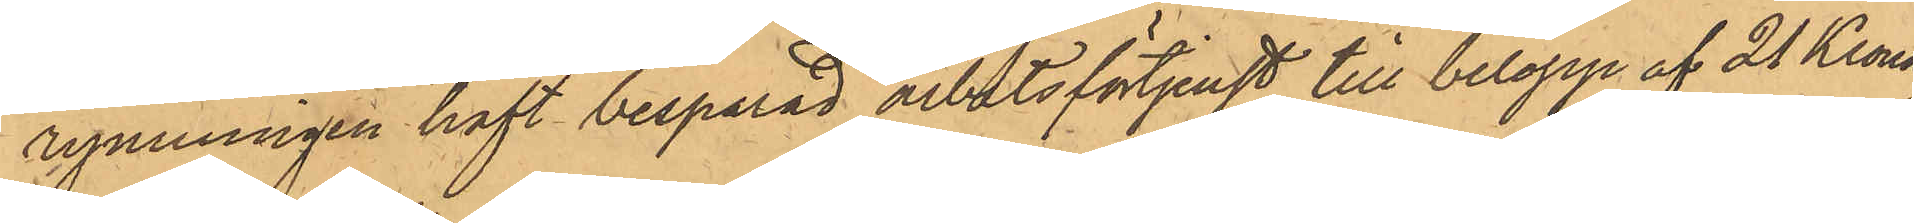rymningen haft besparad arbetsförtjenst till belopp af 21 Kronor.
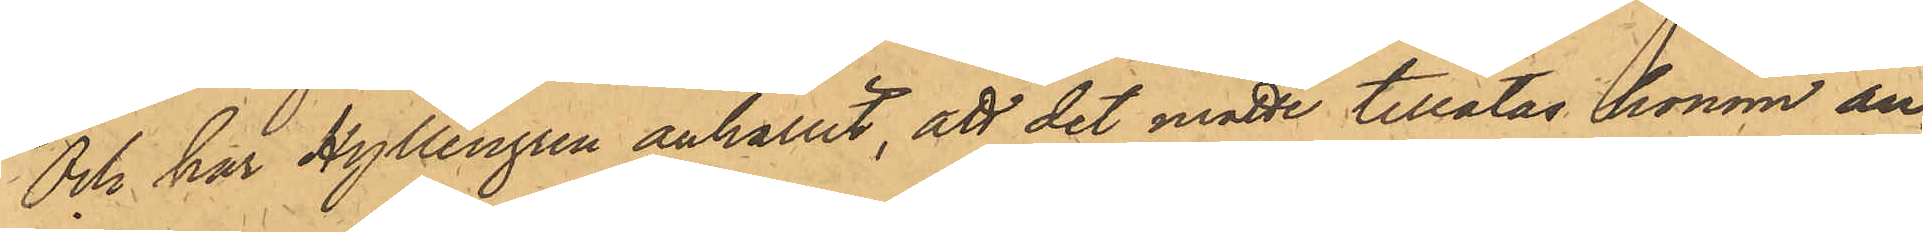Och har Hyllengren anhållit, att det måtte tillåtas honom an¬
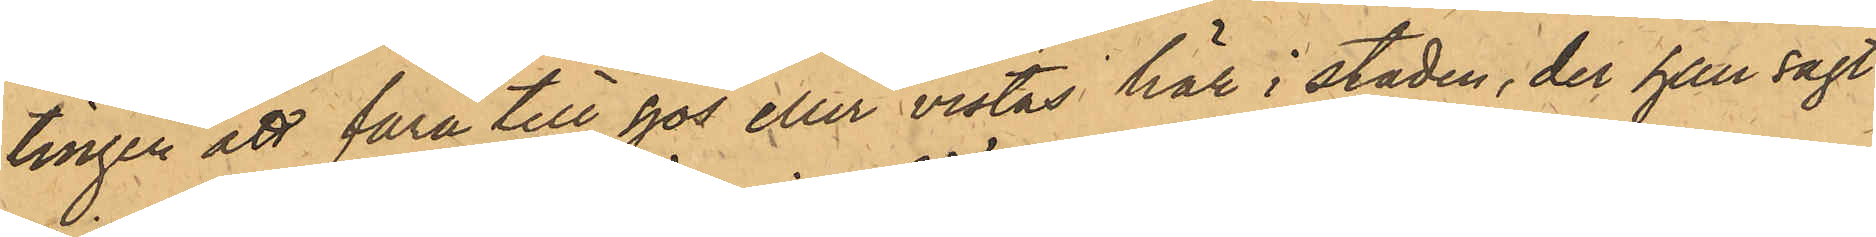tingen att fara till sjös eller vistas här i staden, der han sagt
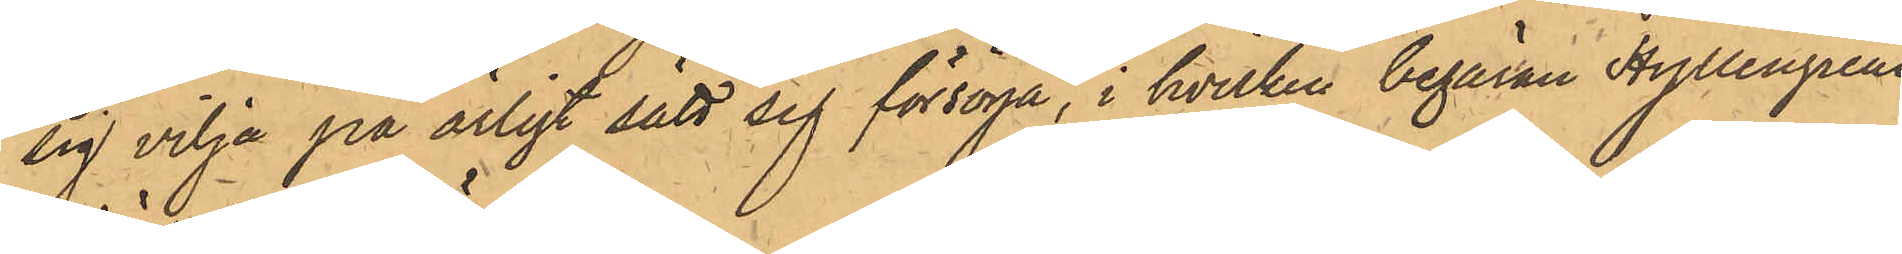sig vilja på ärligt sätt sig försörja, i hvilken begäran Hyllengrens
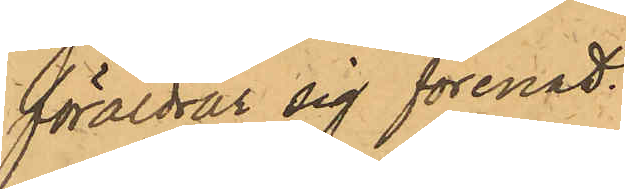föräldrar sig förenat.
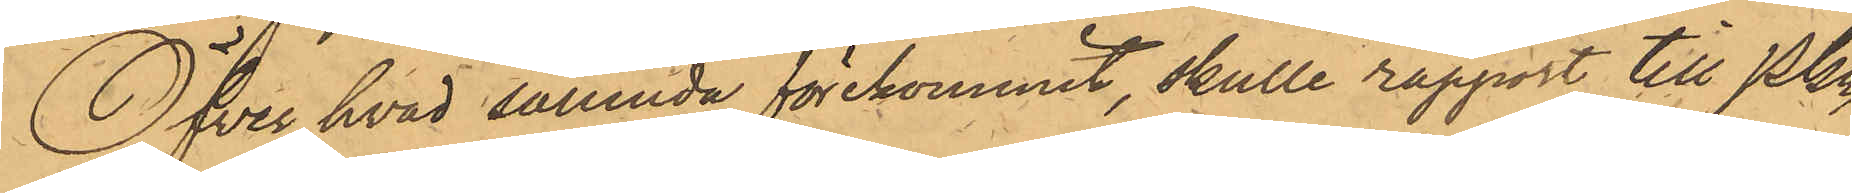Öfver hvad sålunda förekommit, skulle rapport till PKn
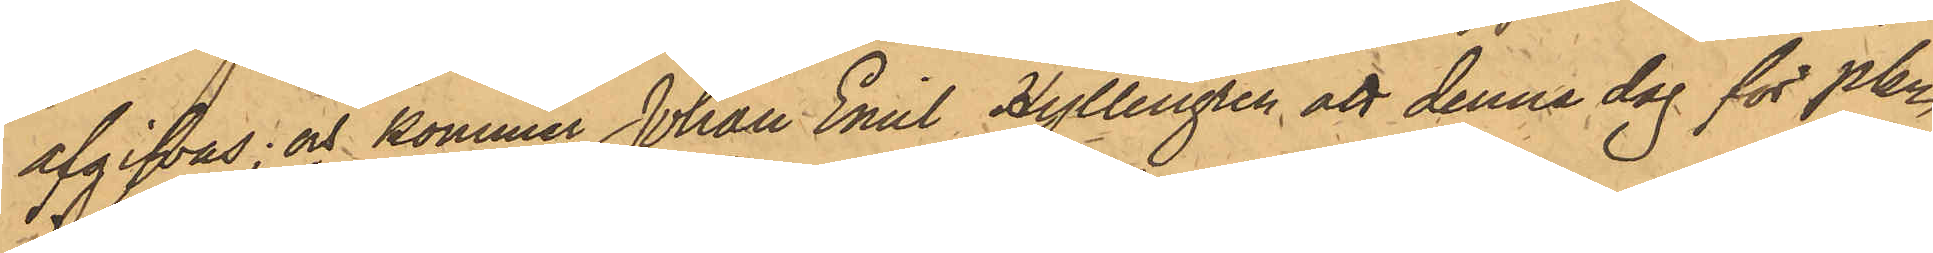afgifvas; och kommer Johan Emil Hyllengren att denna dag för Pkn
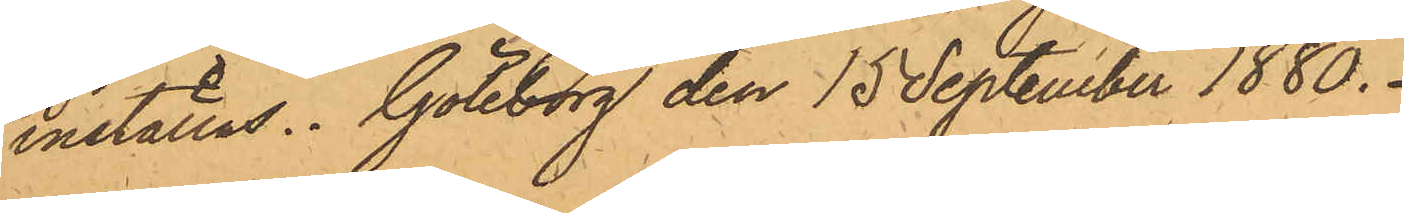inställas. Göteborg den 15 September 1880.
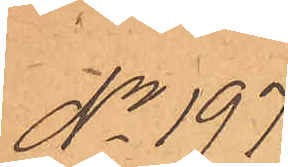No 197.
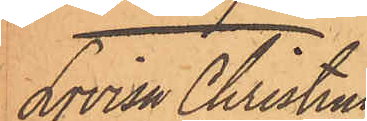Lovisa Christina
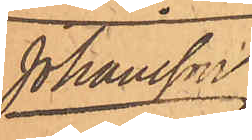Johansson.
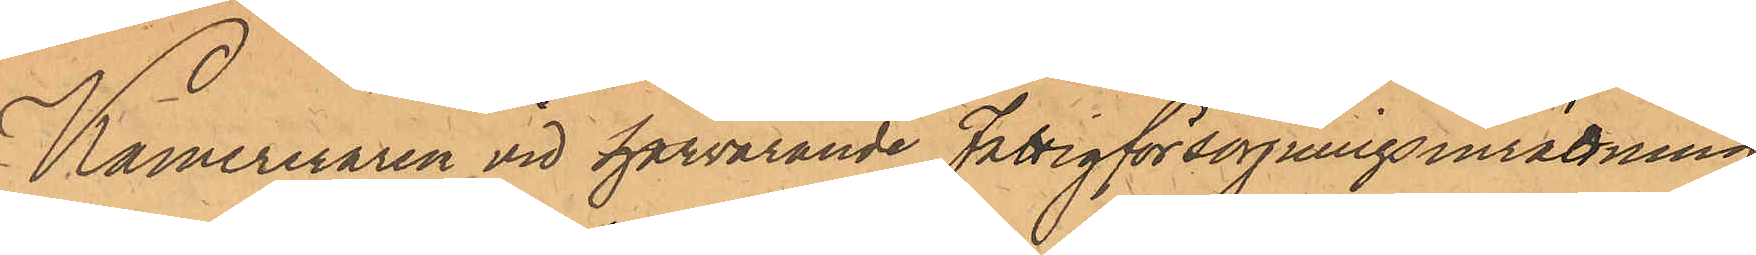Kamereraren vid härvarande Fattigförsörjningsinrättning
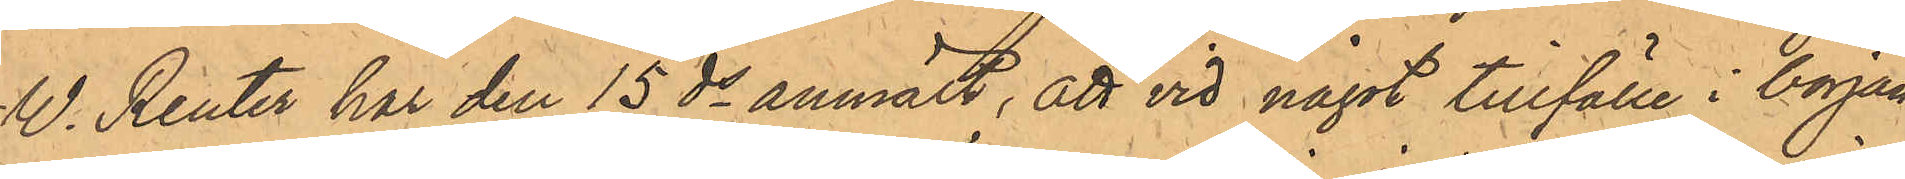W. Reuter har den 15 ds anmält, att vid något tillfälle i början
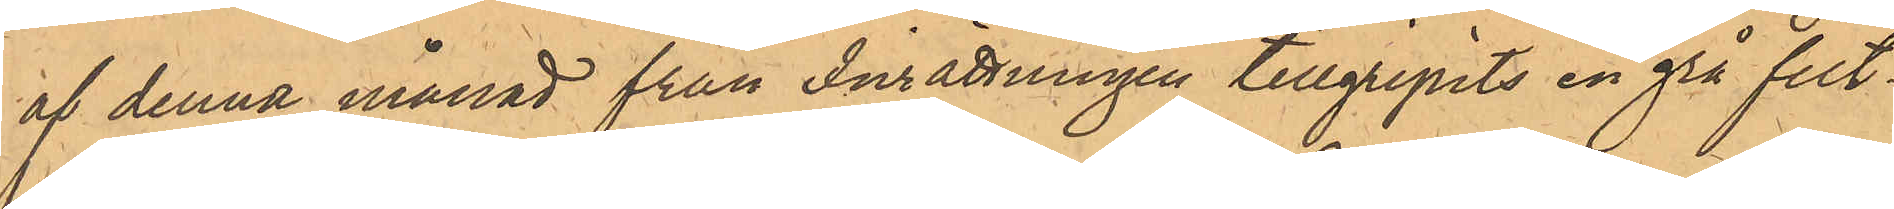af denna månad från Inrättningen tillgripits en grå filt¬
